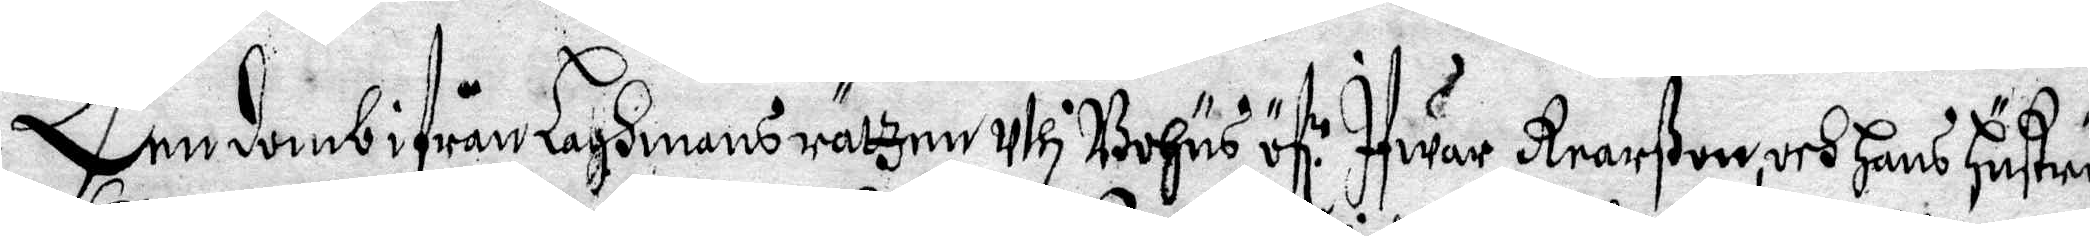Een domb ifrån Laghmans rätzen uthi Bohus öf.r Ifwar Rearßon, och Hans Hustru
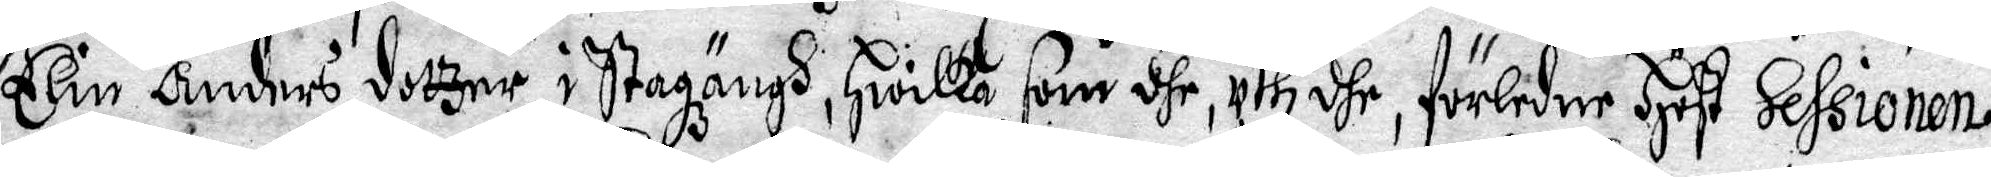Elin Anders dotzer, i Stazängh, Hwilka som dhe, uthi dhe, förledne Höst Sessionen,
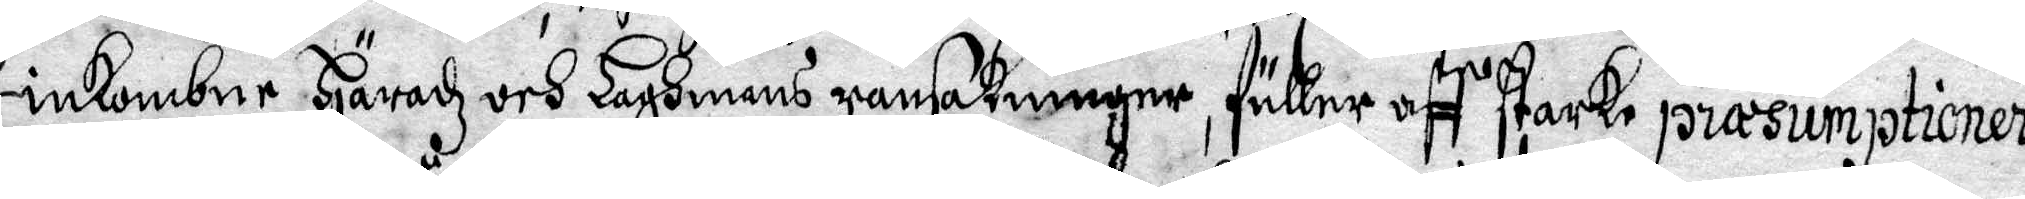inkombne Häradz och Lagmans ransakninger, fuller aff starke præsumptioner
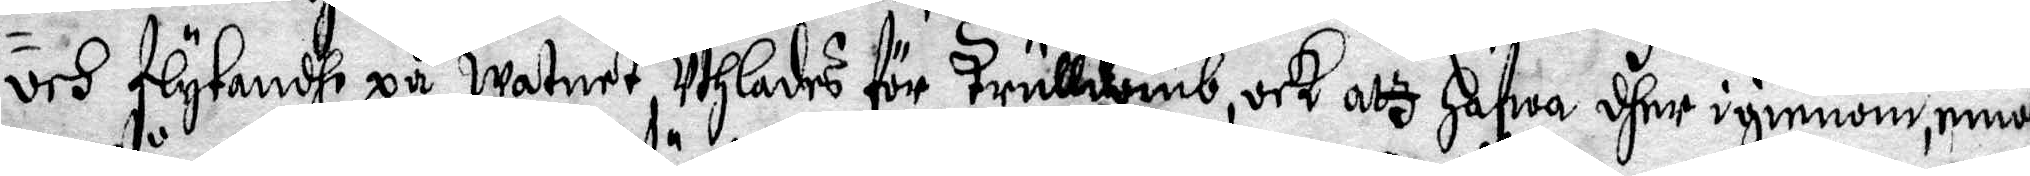och flytande på watnet, uthlades för trulldomb, och atz Hafwa dher igienom, emot
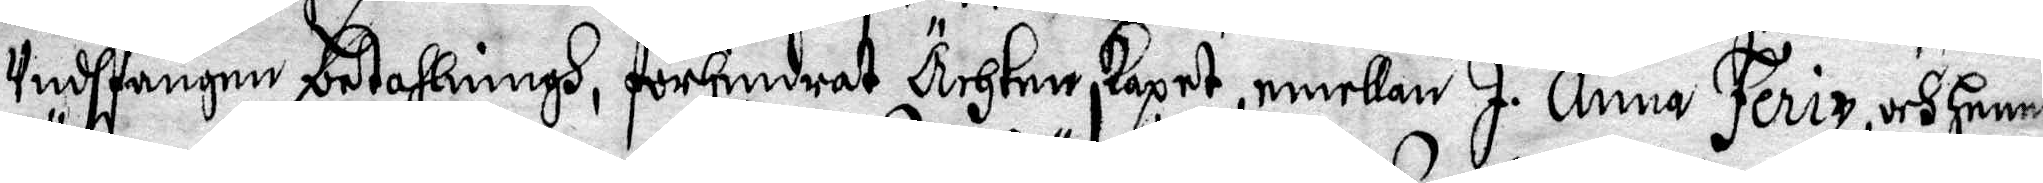undfångne betahlningh, förhindrat Ächtenskapet, emellan J. Anna Feriz, och Hennes
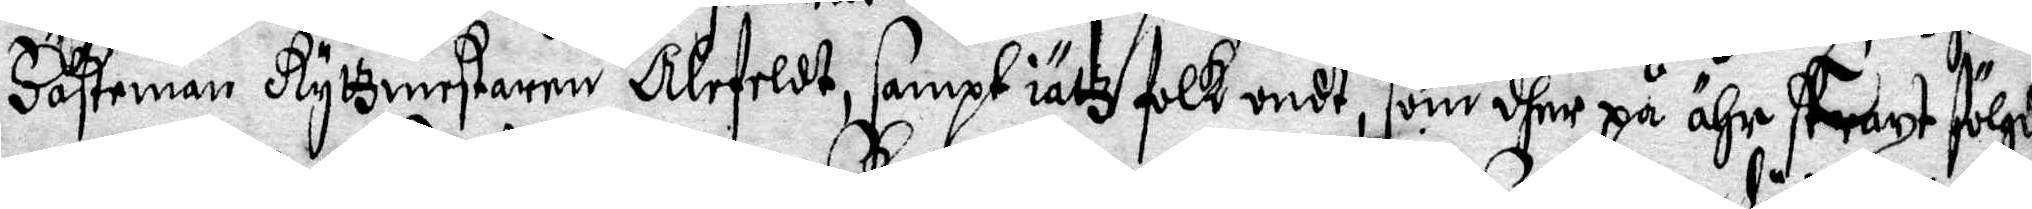Häfteman Ryttmestaren Alefeldt, sampt iältz folk indt, som dhe på ähr straxt fölgd,
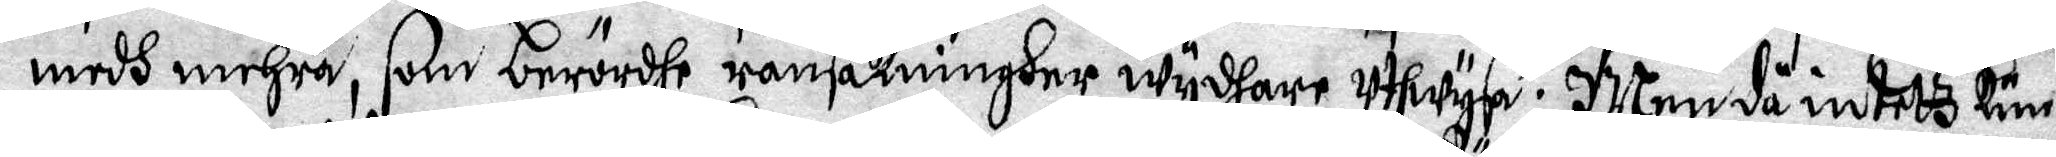medh mehra, som berördhe ransakniner wydare uthwysa; Men då intetz kun¬
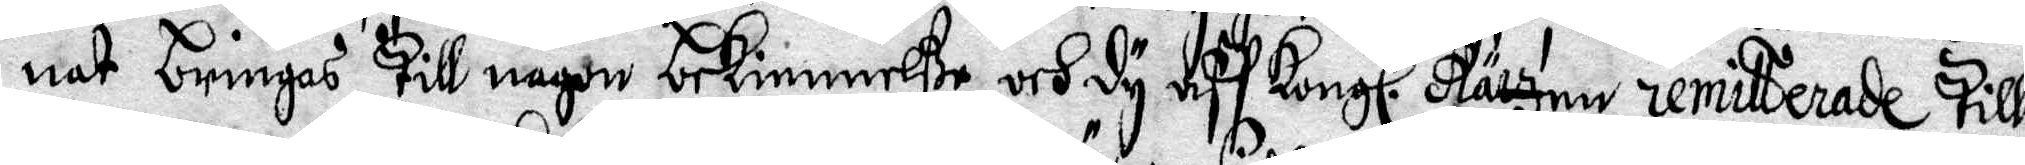nat bringas till någon bekiennelße och dy af Kongl. Rätzen remitterade till
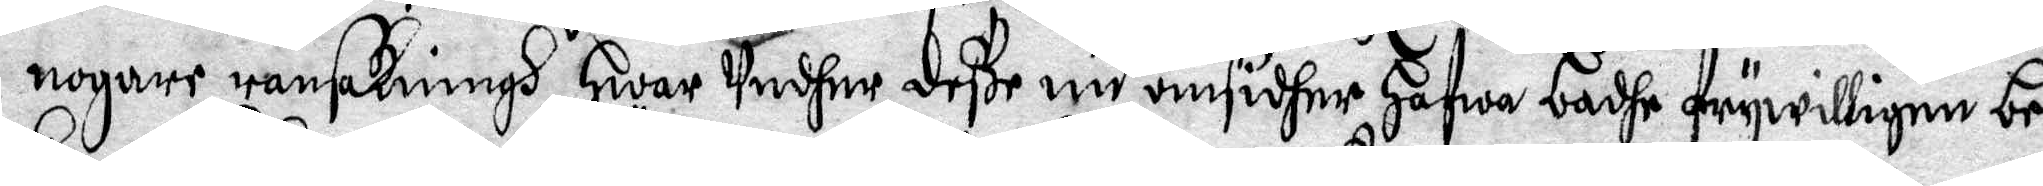nogare ransakning, Hwar undher deße nu omsidher Hafwa bådhe frywilligen be¬
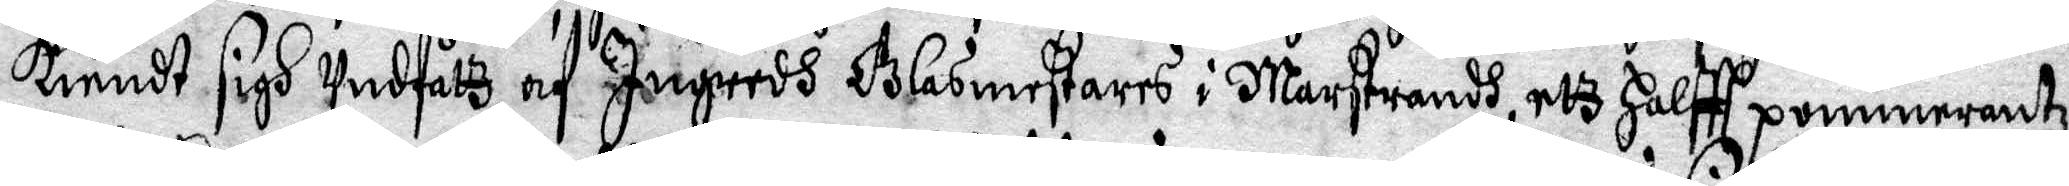kendt sigh undfåtz af Ingridh Glasmestares i Marsyrandh, etz Halftt pommerantz¬
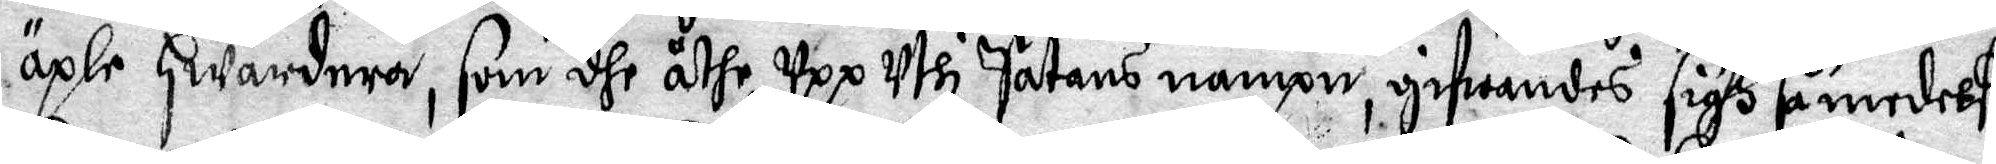äple Hwardera, som dhe åthe upp uthi Satans nampn, gifwandes sigh så medelst
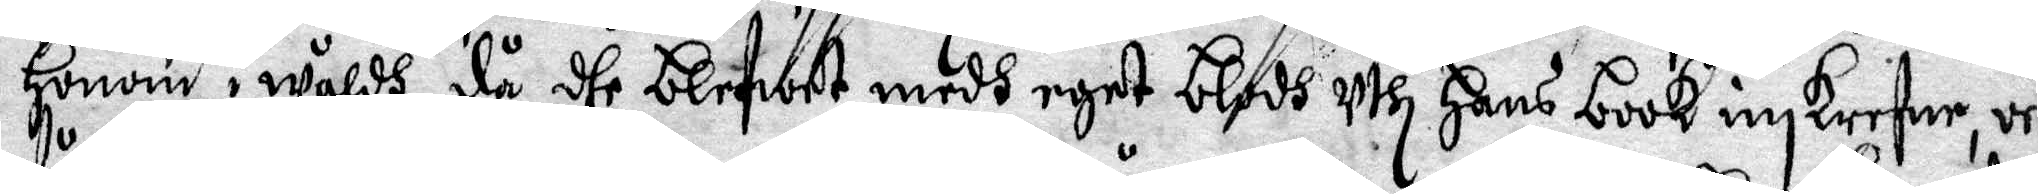Honom i wåldh, då dhe blefwet medh eget blodh uthi Hans book inskrifwe, och
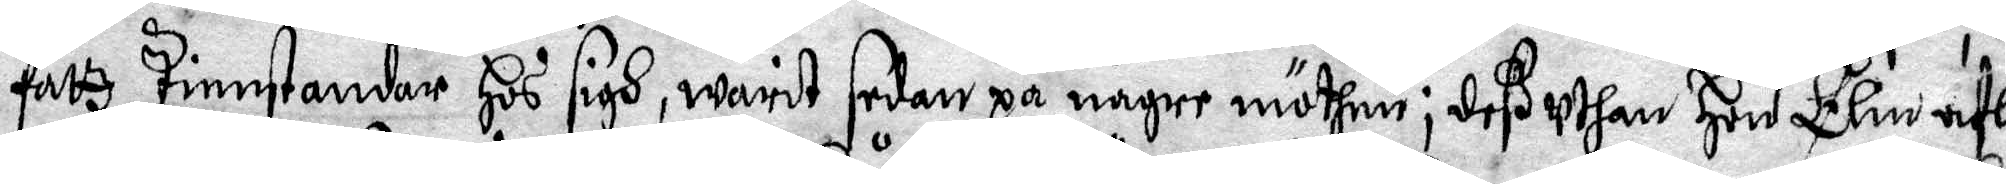fåtz Tienstandar Hos sigh, warit sedan på någre möthen; deß uthan Hon Elin afla
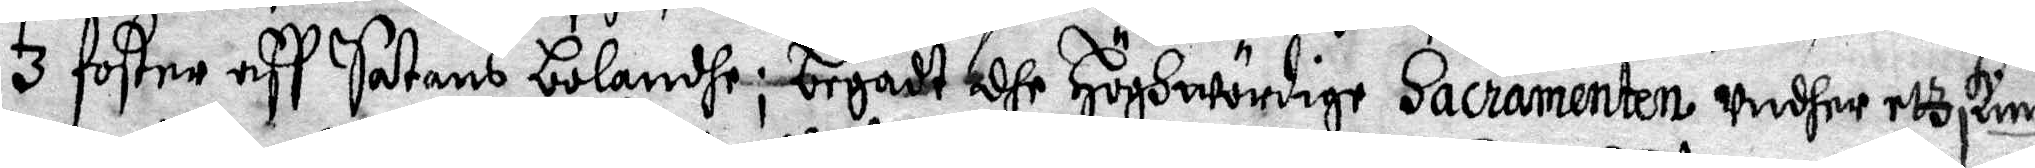3 foster aff Satans bolandhe; begådt dhe Höghwördige Sacramenten undher etz skimm
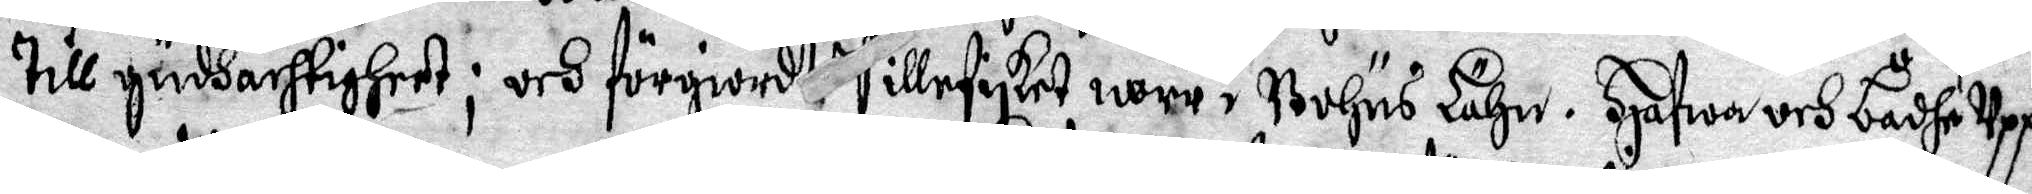till gudhachtigheet; och förgiodt Sillefisket norr i Bohus Lähn. Hafwa och bådhe uppå
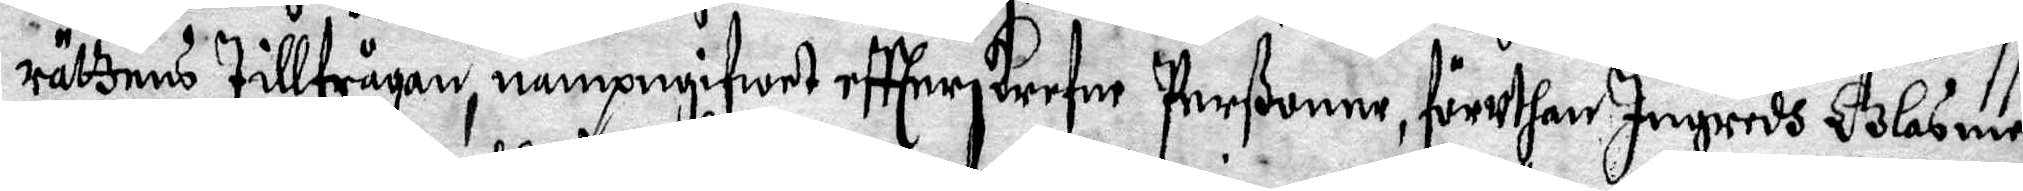rättens tillfrågan, nampngifwet eftterskrefne Perßoner, föruthan Ingredh Glasme¬
